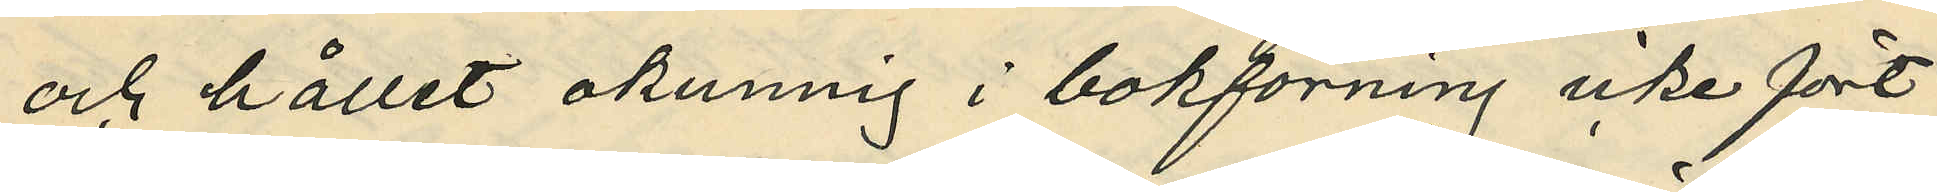och hållit okunnig i bokförning icke fört
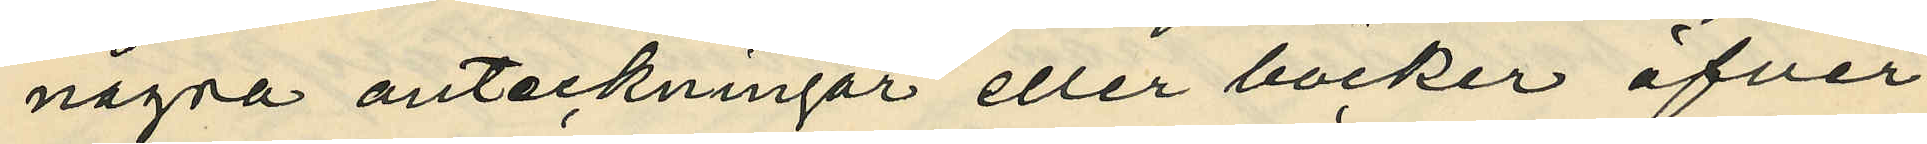några anteckningar eller böcker öfver
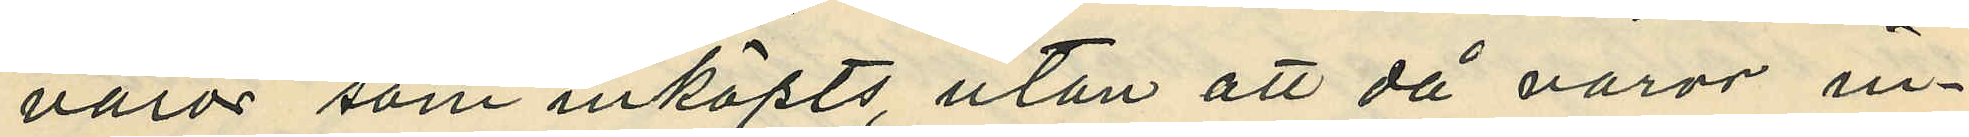varor som inköpts, utan att då varor in¬
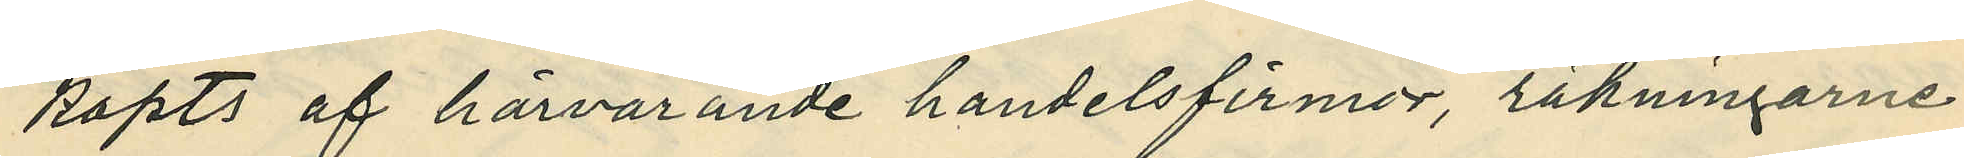köpts af härvarande handelsfirmor, räkningarne
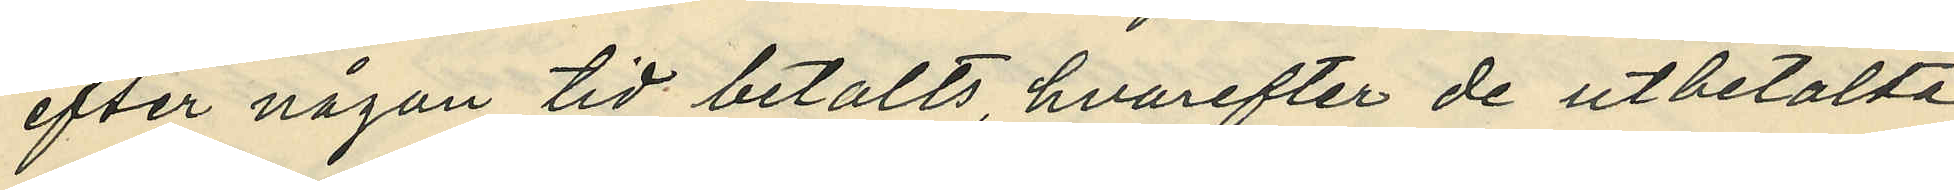efter någon tid betalts, hvarefter de utbetalta
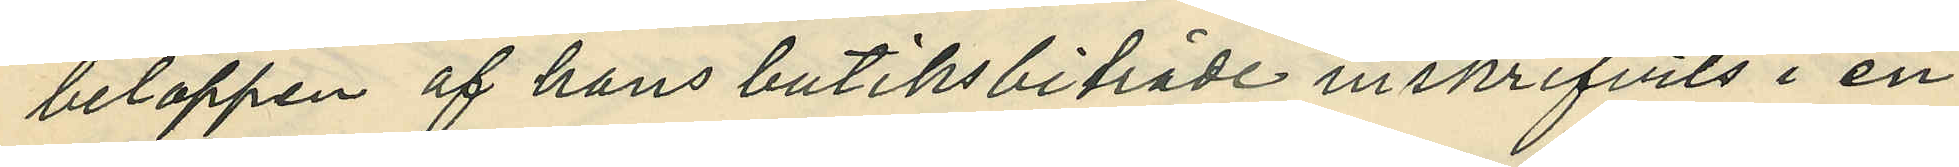beloppen af hans butiksbiträde inskrifvits i en
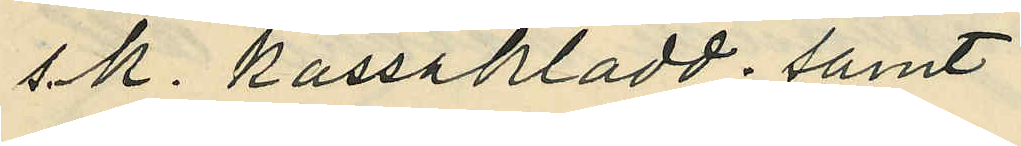s.k. kassakladd; samt
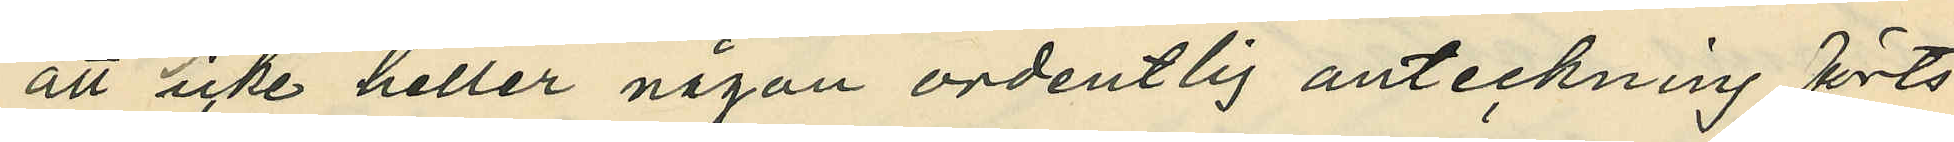att icke heller någon ordentlig anteckning förts
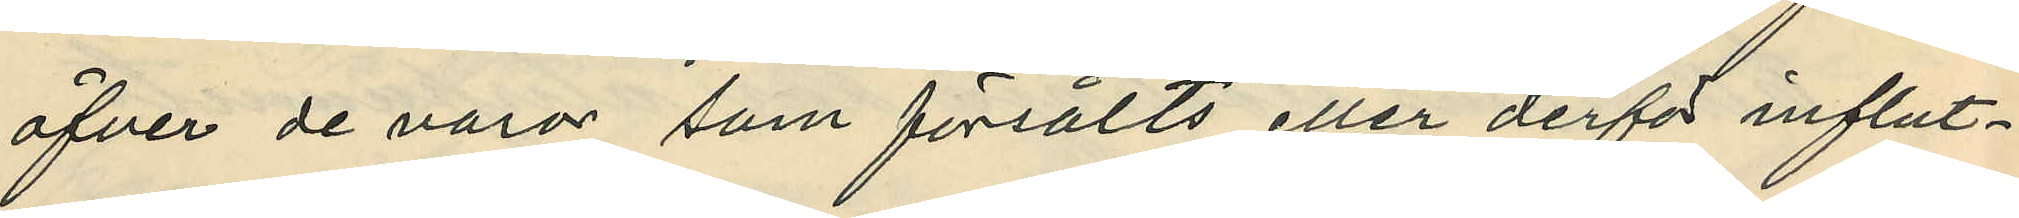öfver de varor, som försålts eller derför influt¬
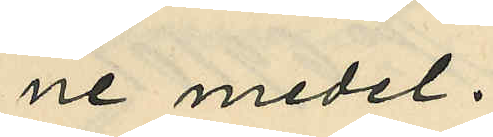ne medel.
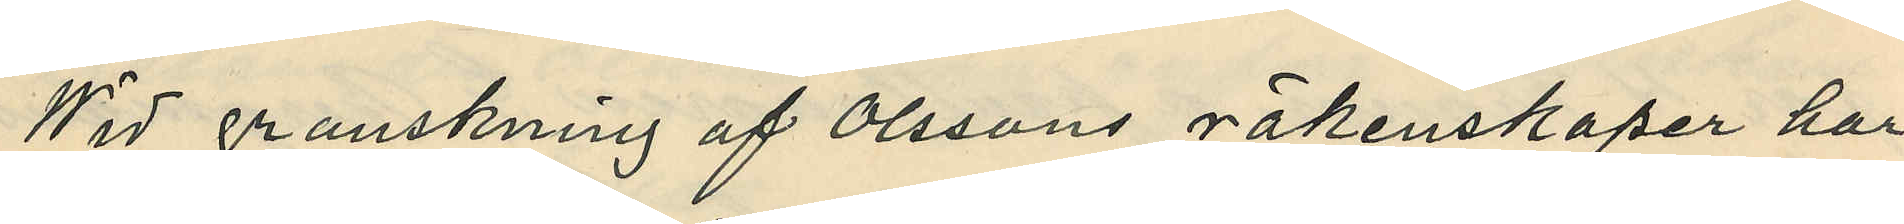Wid granskning af Olssons räkenskaper har
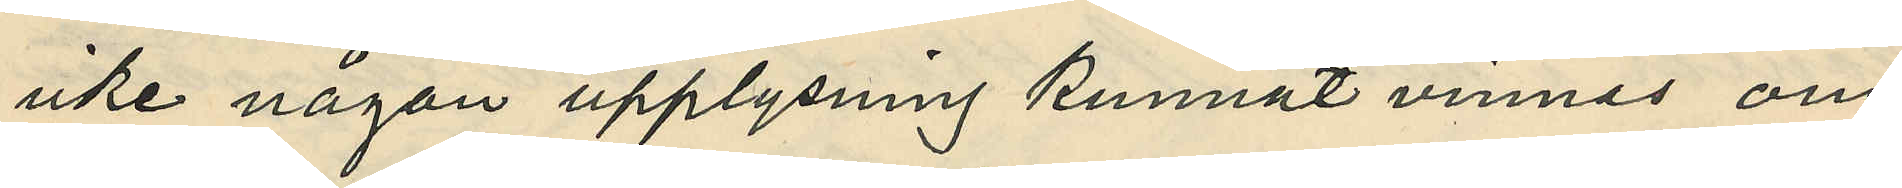icke någon upplysning kunnat vinnas om
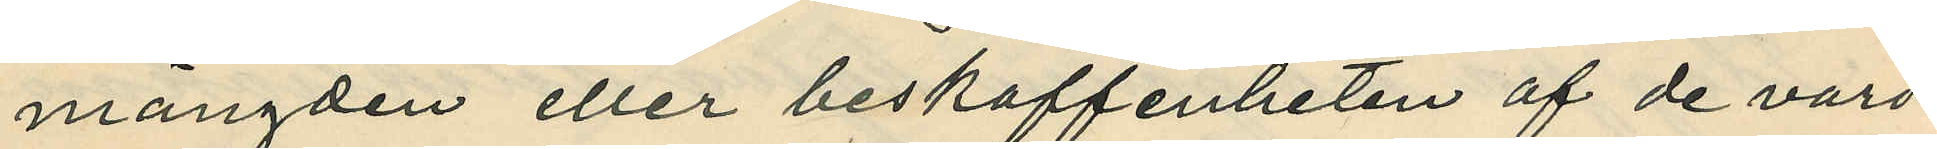mångden eller beskaffenheten af de varo
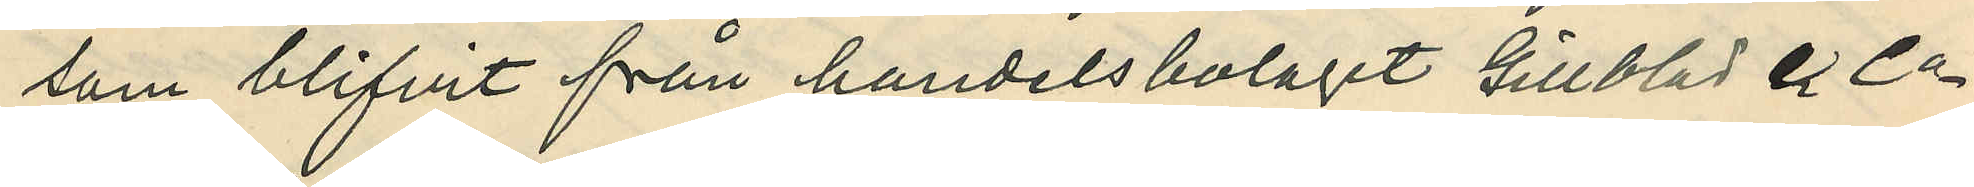som blifvit från handelsbolaget Gillblad & Co
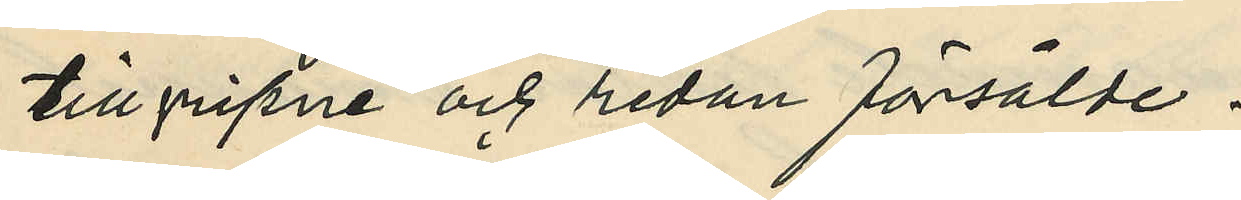tillgripne och redan försålde.
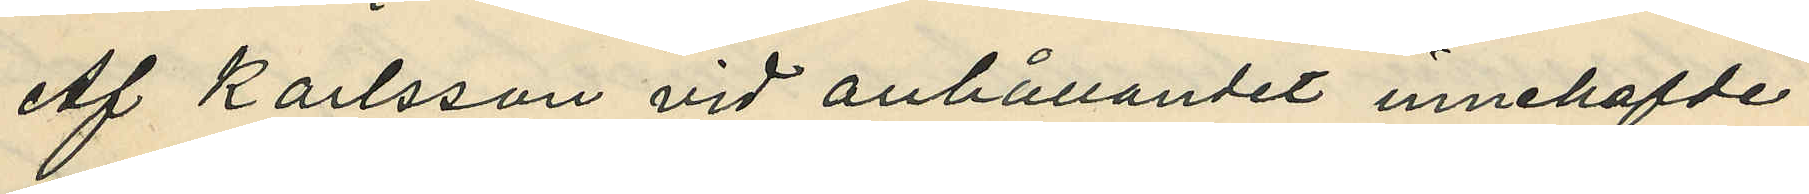Af Karlsson vid anhållandet innehafvde
